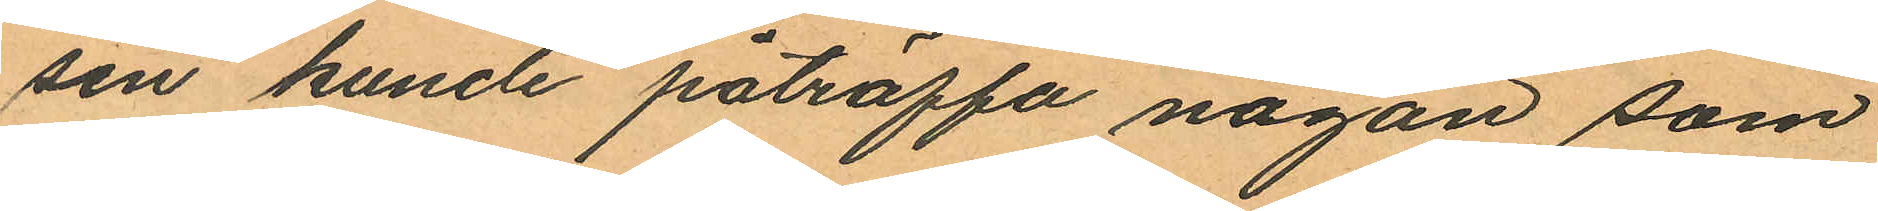sen kunde påträffa någon som
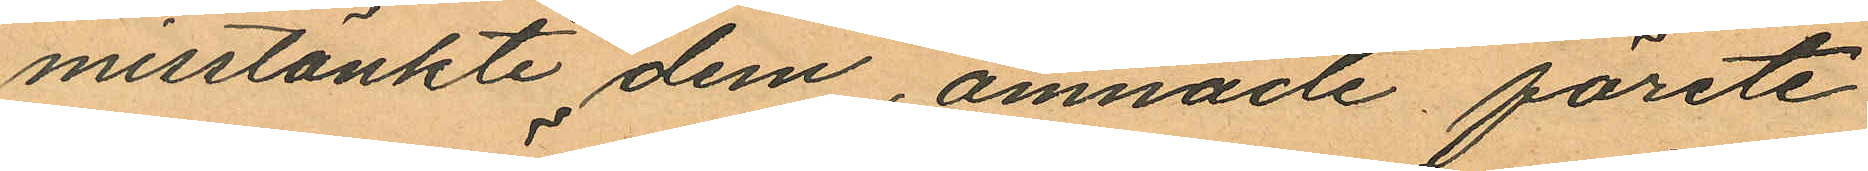misstänkte dem, ämnade förete
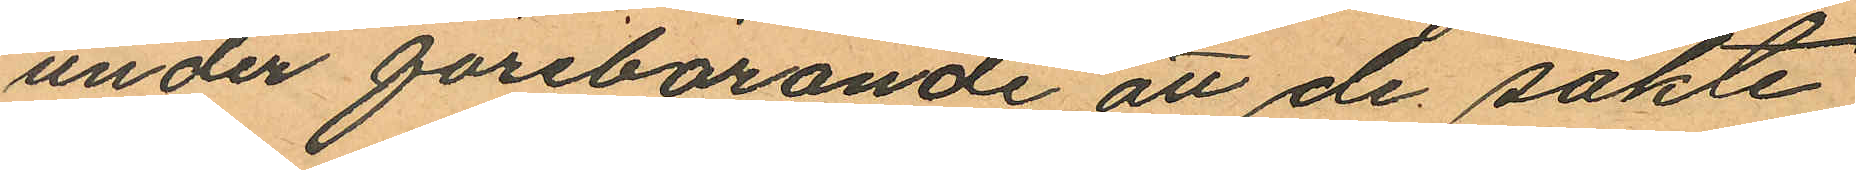under förebörande att de sökte
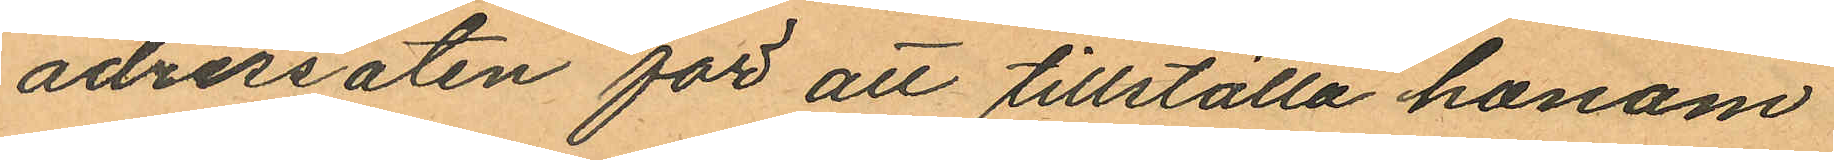adressaten för att tillställa honom
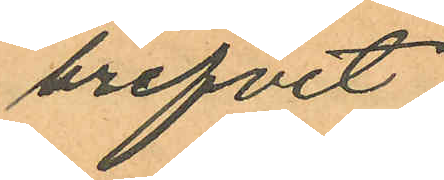brefvet.
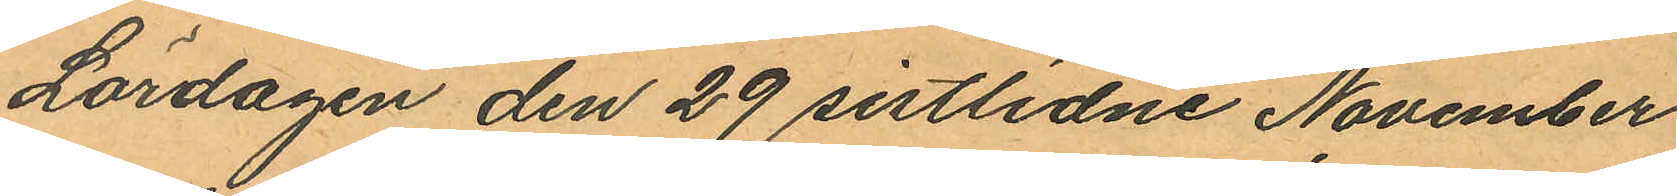Lördagen den 29 sistlidne November
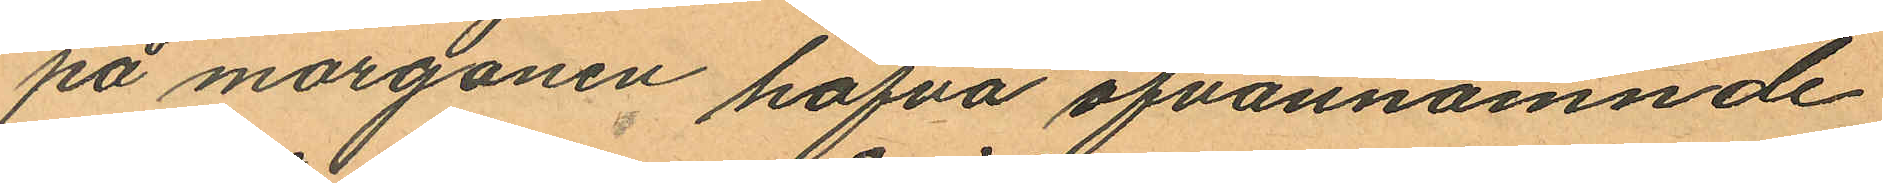på morgonen hafva ofvannämnde
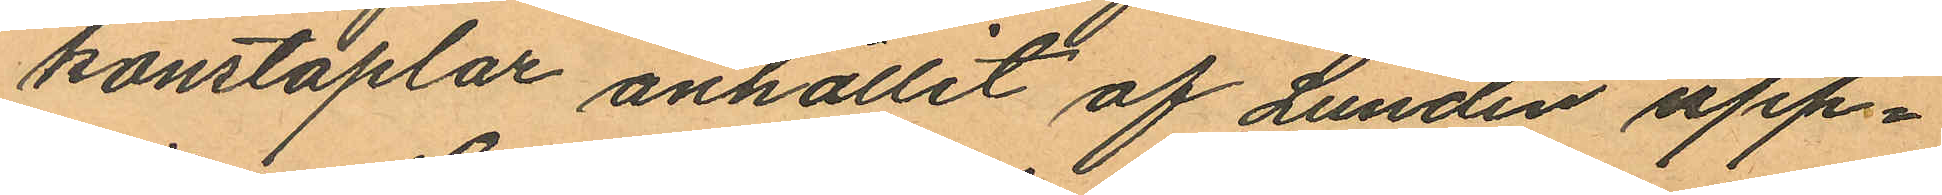konstaplar anhållit af Lundin upp¬
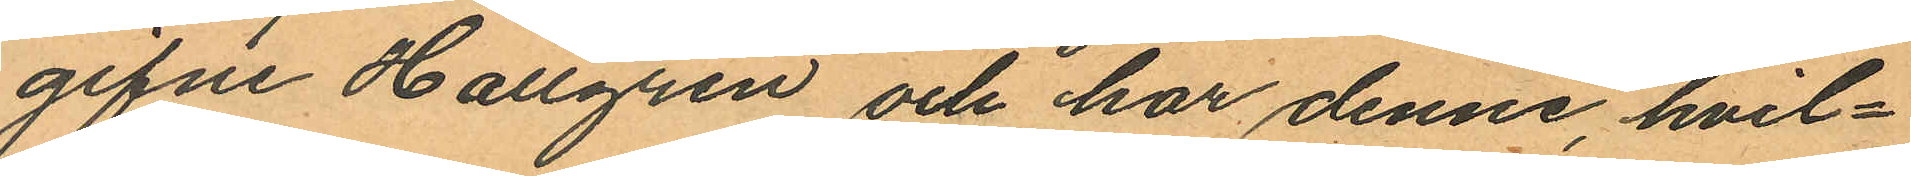gifne Hallgren och har denne, hvil¬
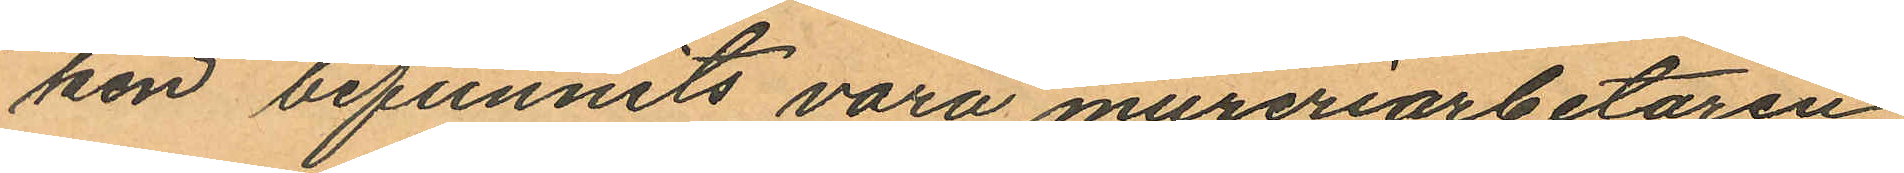ken befunnits vara mureriarbetaren
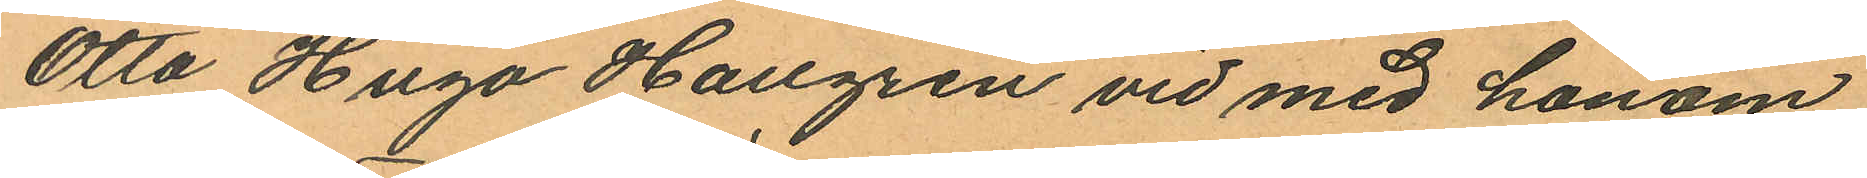Otto Hugo Hallgren vid med honom
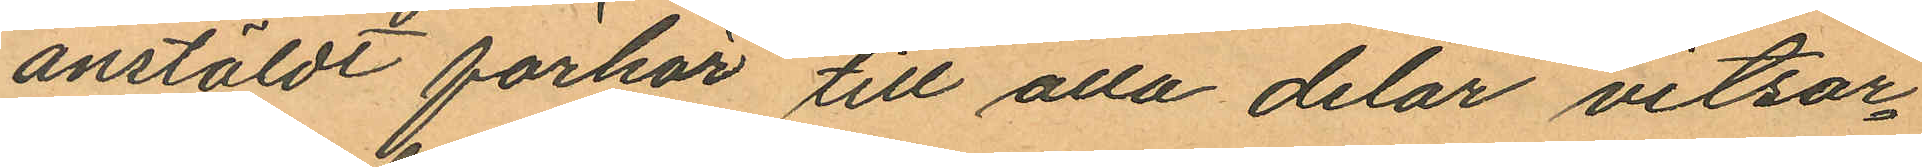anstäldt förhör till alla delar vitsor¬
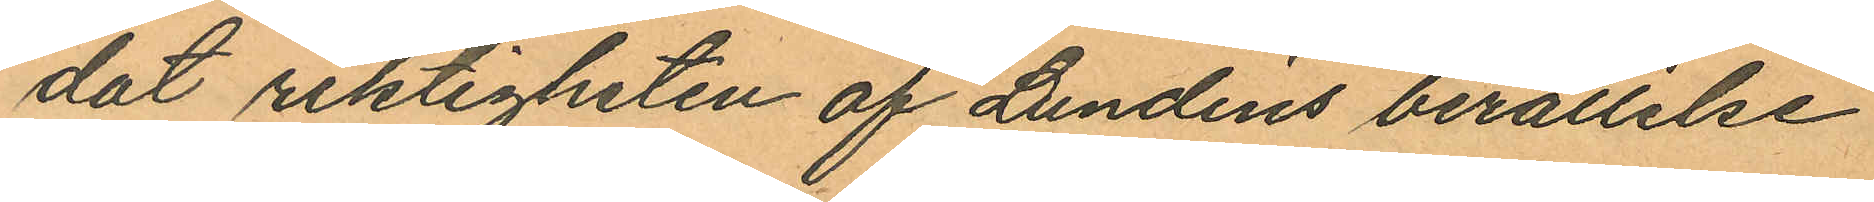dat riktigheten af Lundins berättelse
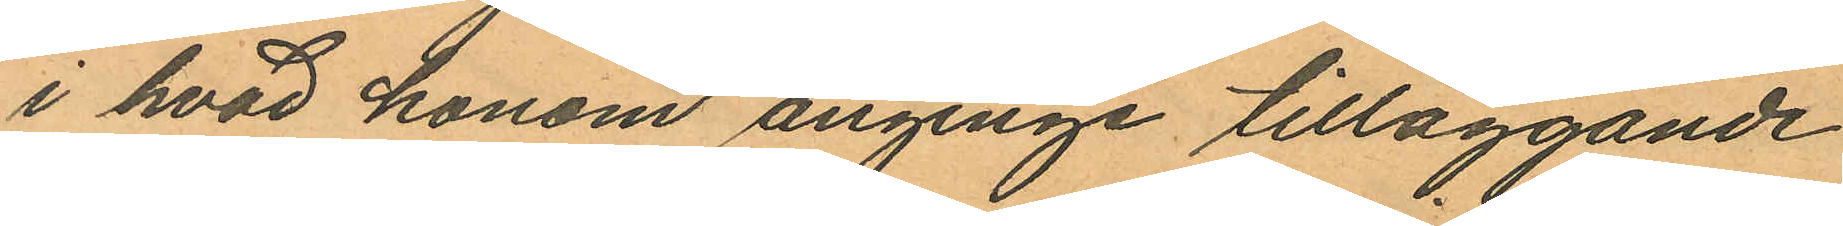i hvad honom anginge tilläggande
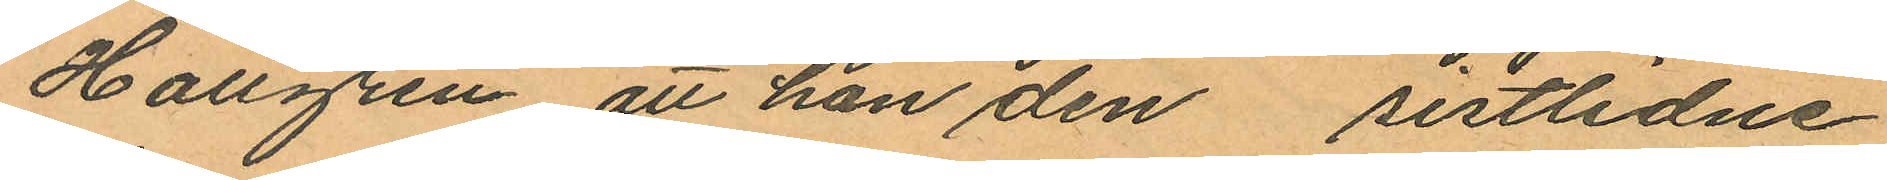Hallgren att han den  sistlidne
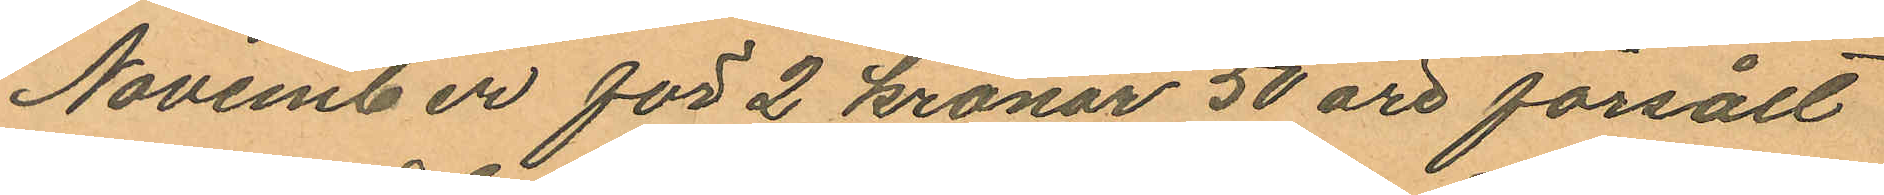November för 2 kronor 50 öre försålt
